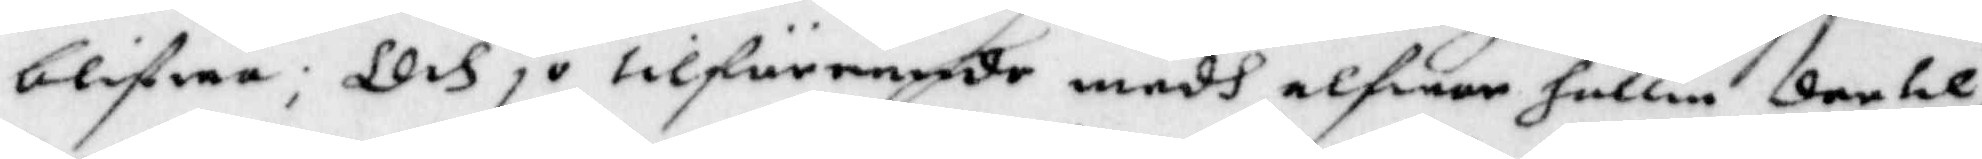blifwa; Och jo tilförennde medh alfwar hållin der til
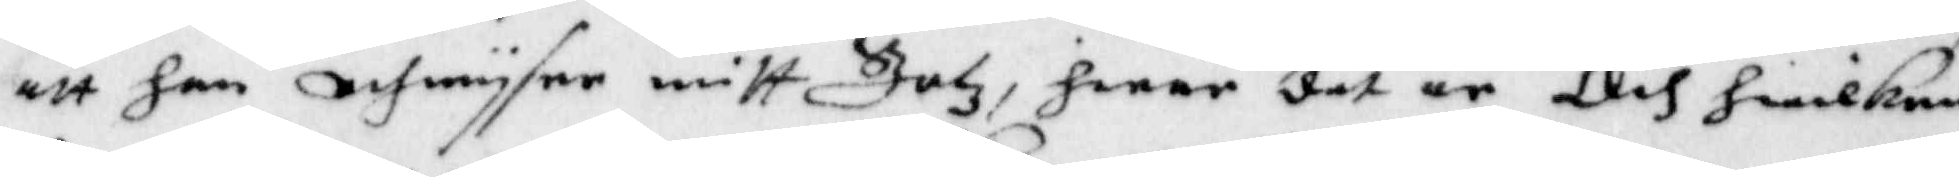att han refwysar mitt Jatz, hwar der är, Och hwilken
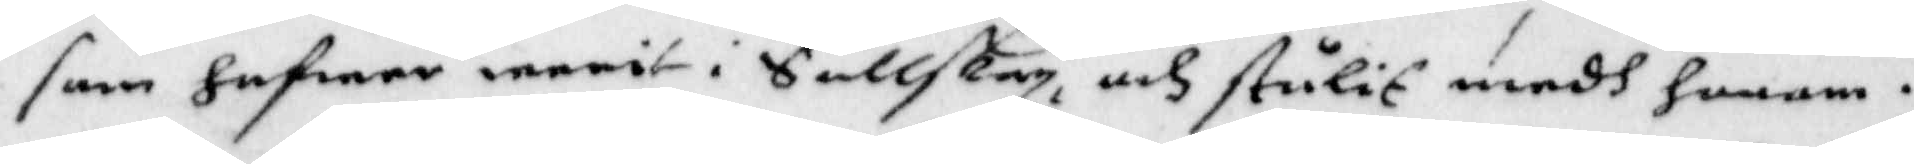som hafwer warit i Sällskap.och stulit medh honom.
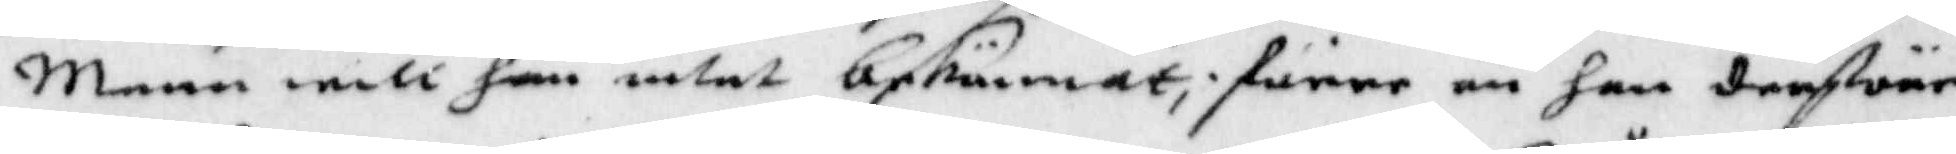;enn will han intet beskännat; förre än han derföre
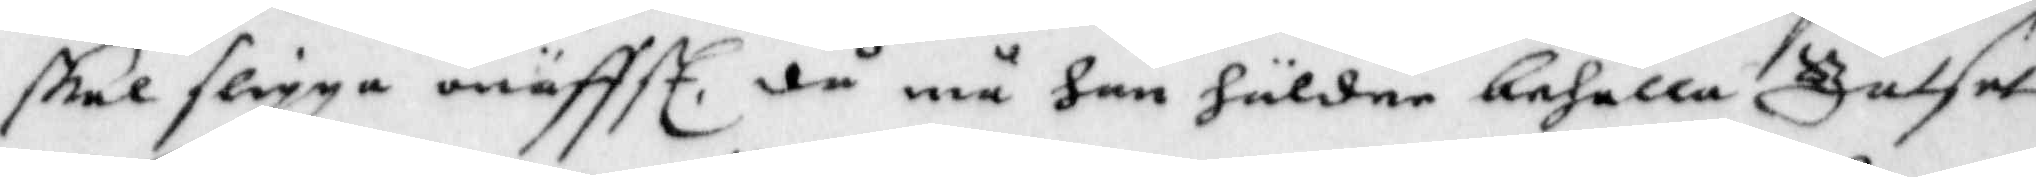skal slippa onäfttl. då må han häldre behålla Jalset
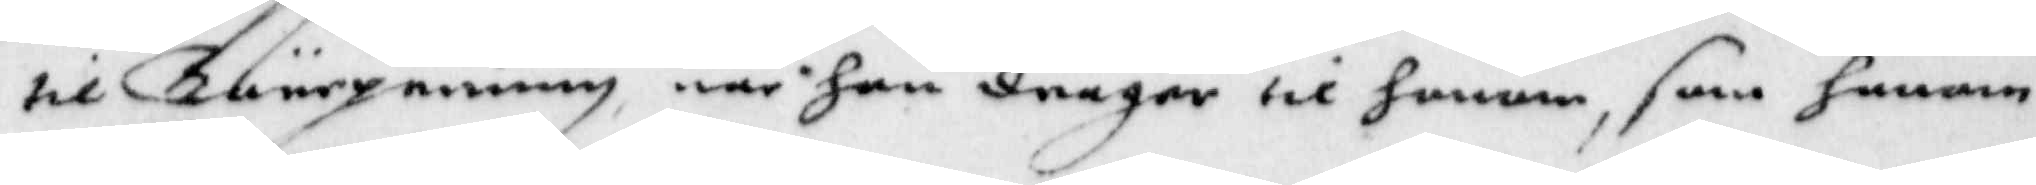til Bärgning när han drager til honom, som honom
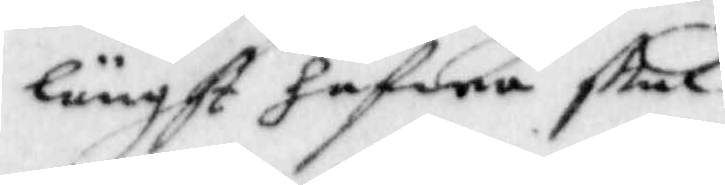längst hafwa stul
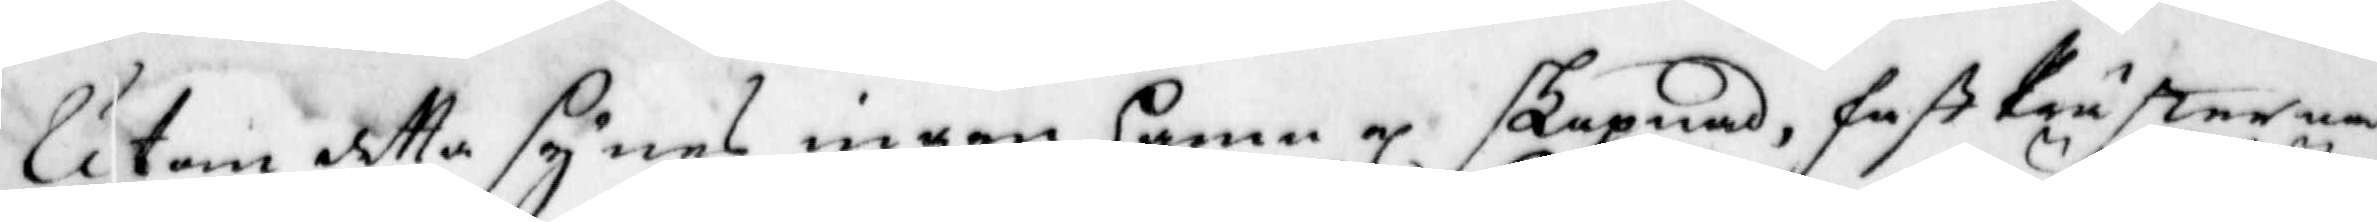Utom detta synes ingen hamn el skapnad, fast Prästerna
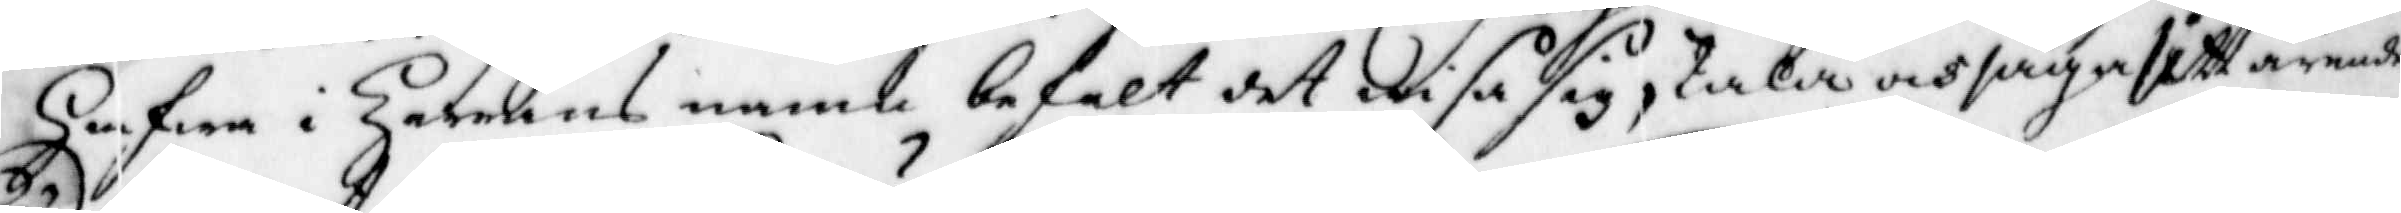Hafwa i Harrens namb befalt det wisa sig, tala och säga, sitt ärende.
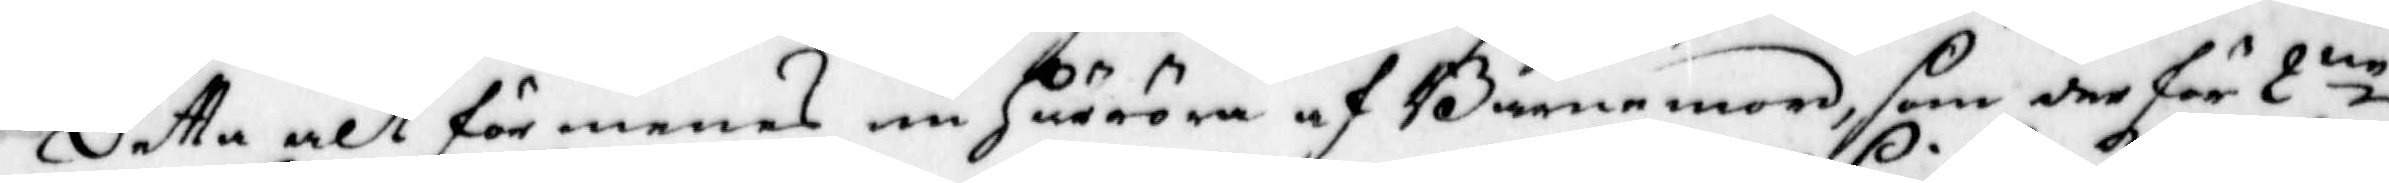Detta alt förmenas nu Härröra af Barnamord, som de för 2:ne
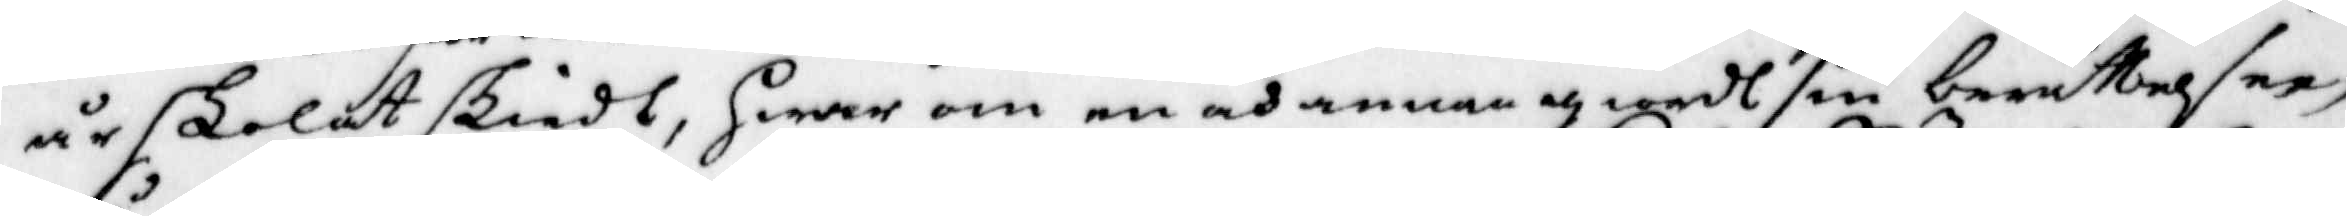år skolat skiedt, hwar om en och annan giordt sin berättelser,
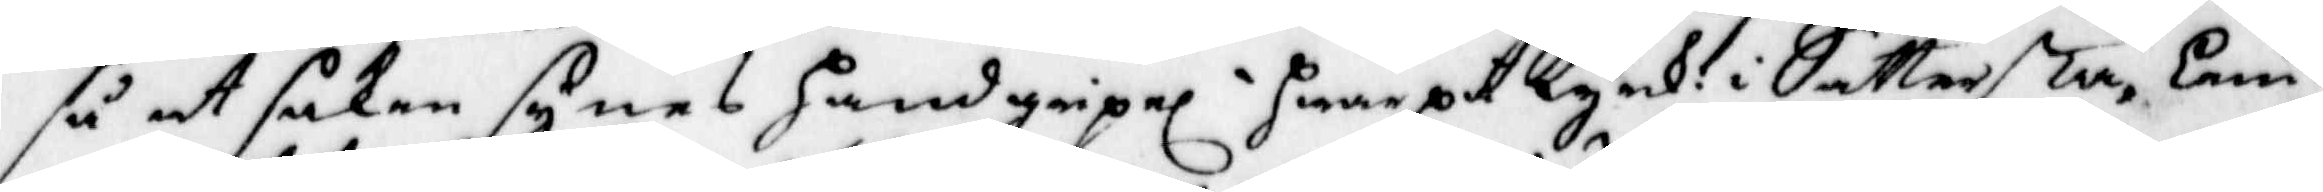så at saken synes handgripel hwarpå Kyrk: i Sättersta, lem¬
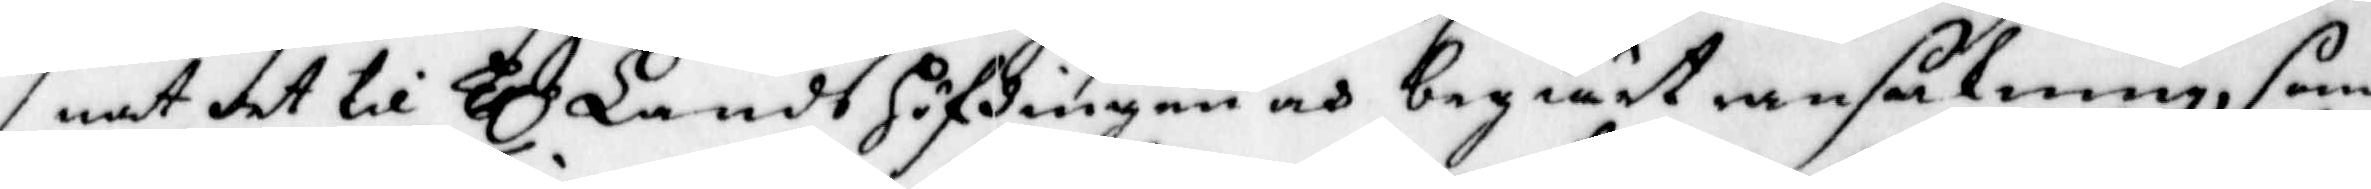nat det till Hl LandsHöfdingen och begiärt ransakning, som
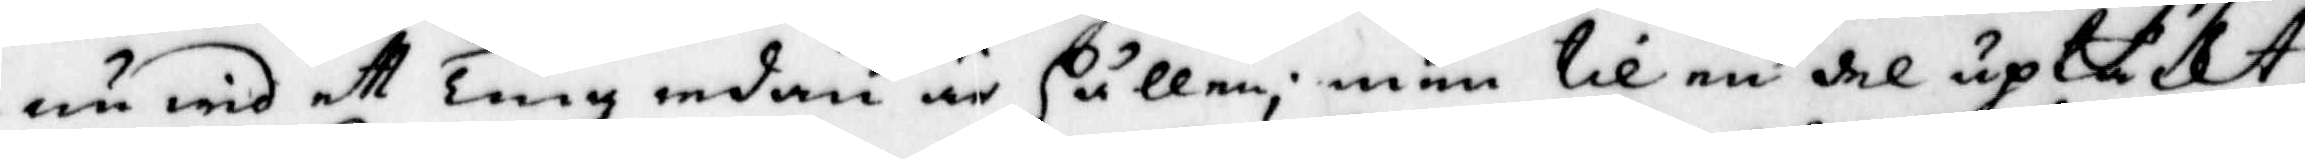nu wid ett Ting redan är hållen; men till en del uptäkt
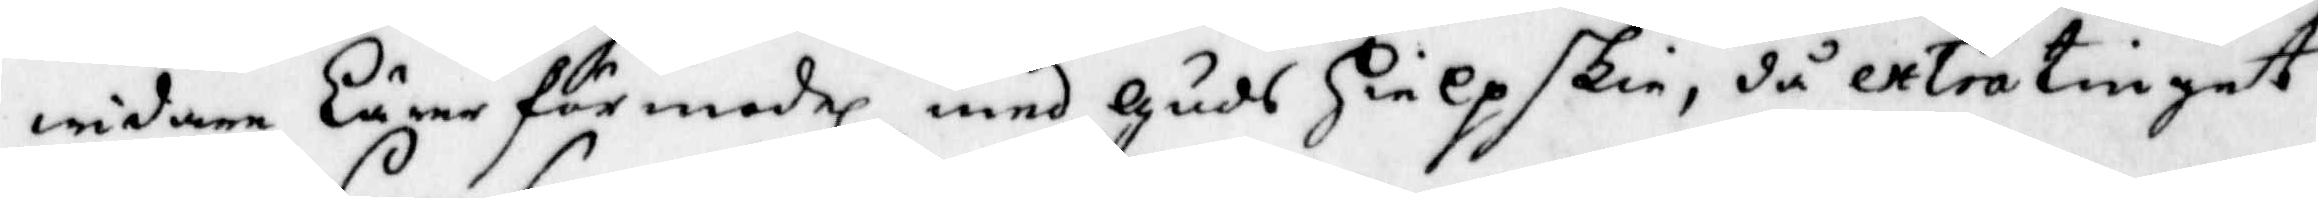widare Lärer förmoderl med Guds Hielp skie, då extra tinget
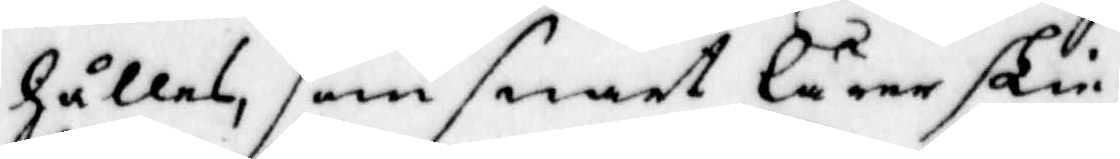hållas, som snart lärer skie.
